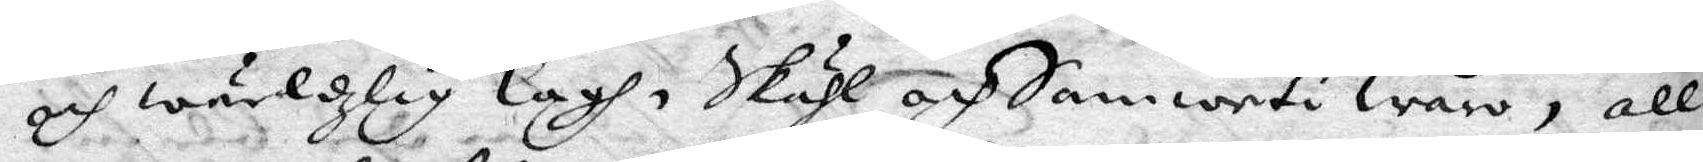och wärdzlig lagh, Skähl och Samweti Wåra, all
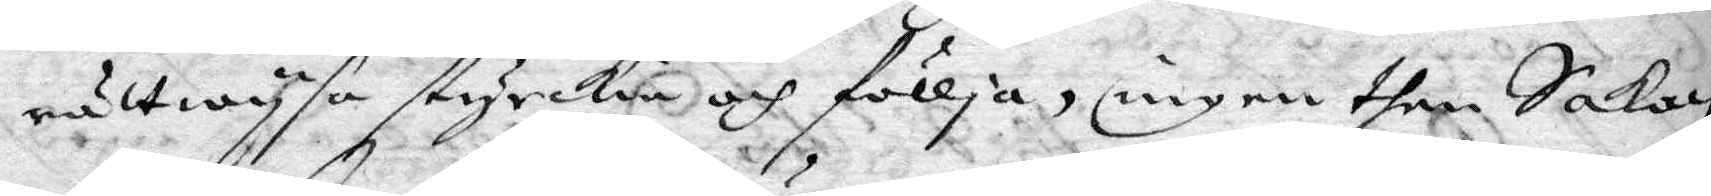rättwysa styrckia och föllja, ingen then Saken
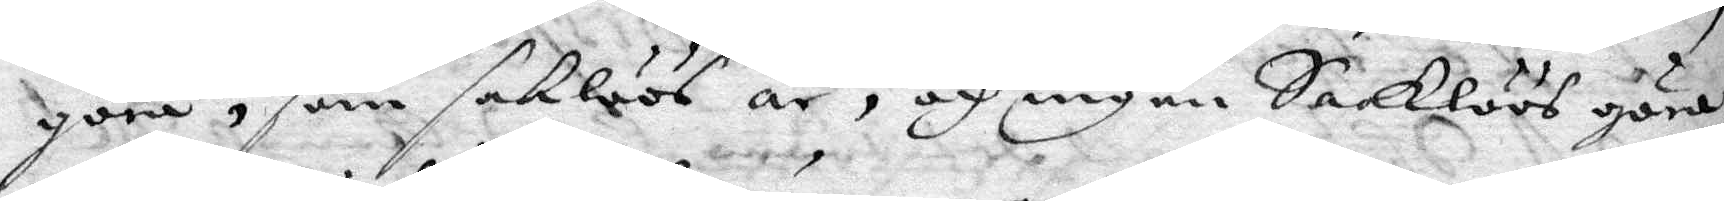göra, som saklöös är, och ingen Saaklöös göra,
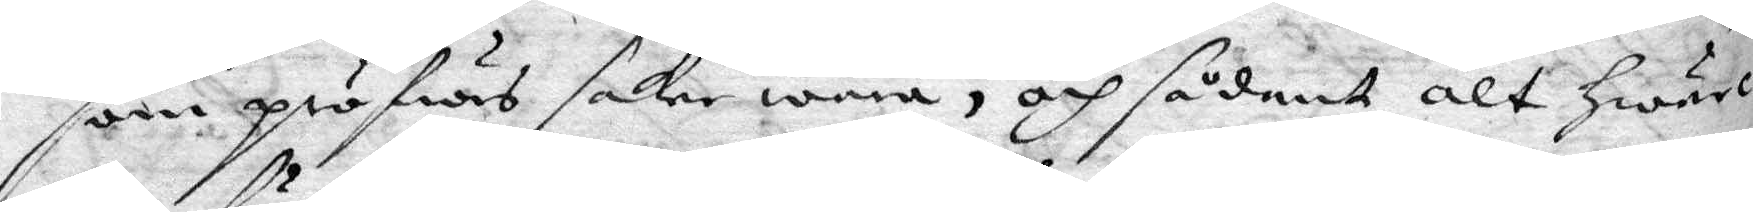som pröfwas saker wara, och sådant alt hwarc¬
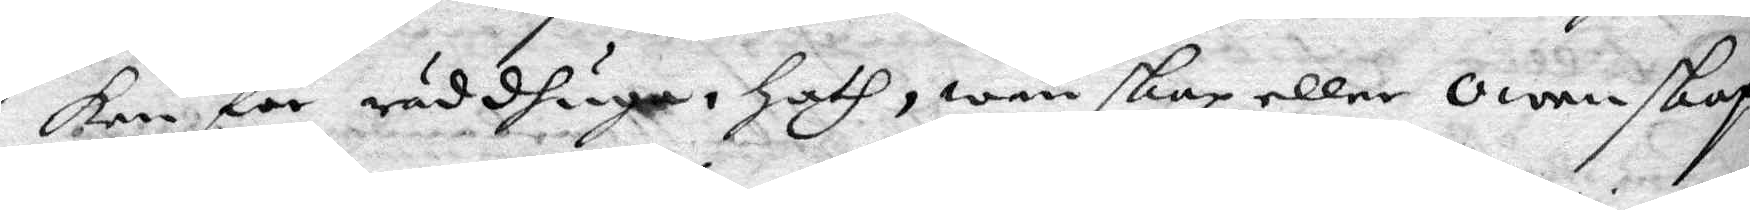ken för rädhuga, hath, wänskap eller owenskap,
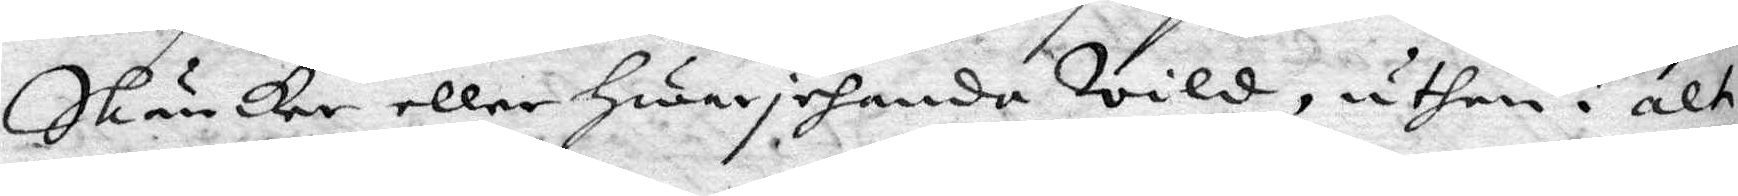Skäncker eller hwarjehanda Wild, uthan i alt
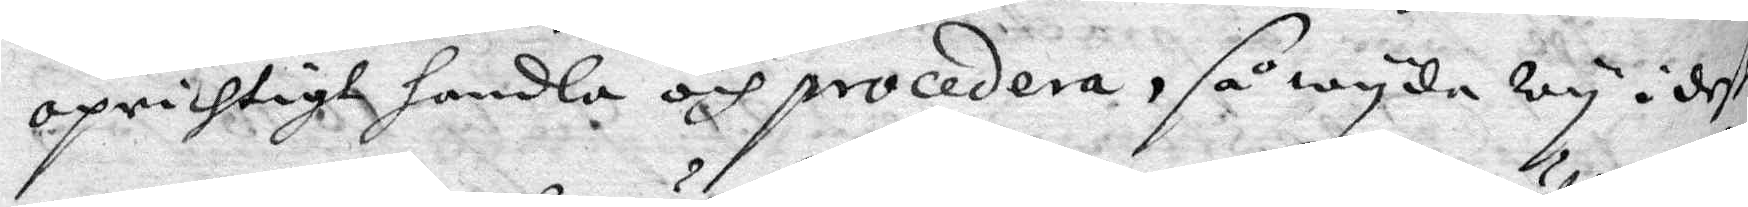oprichtigt handla och procedera, så wyda wy i deße
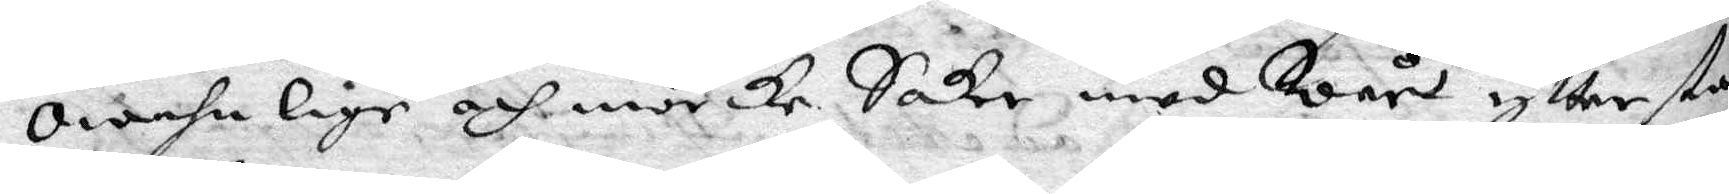Owahnlige och mörcke Saker med Wårt yttersa
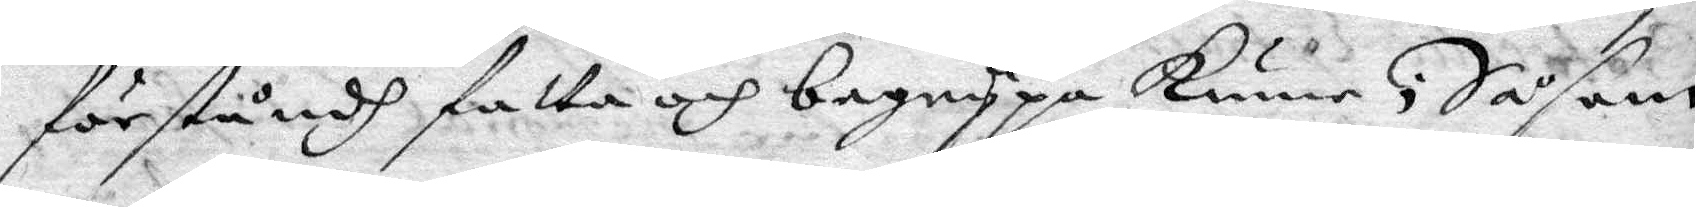sörståndh fatta och begrypa kunne; Såsom
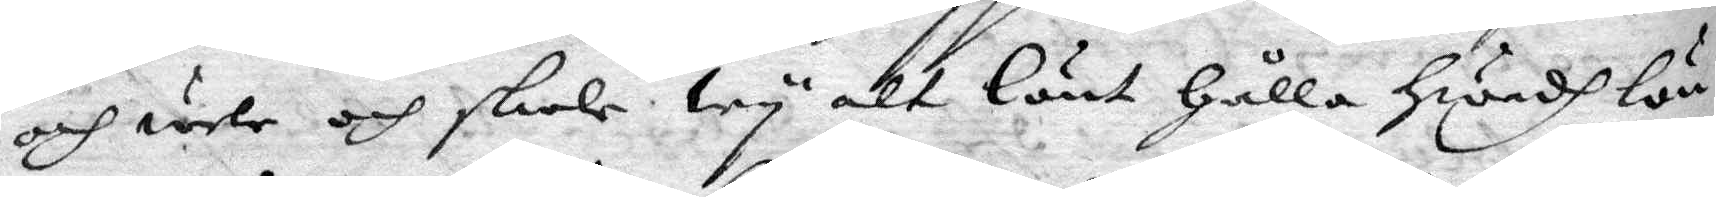och wele och skole Wy alr Lönt hålla hwadh lön¬
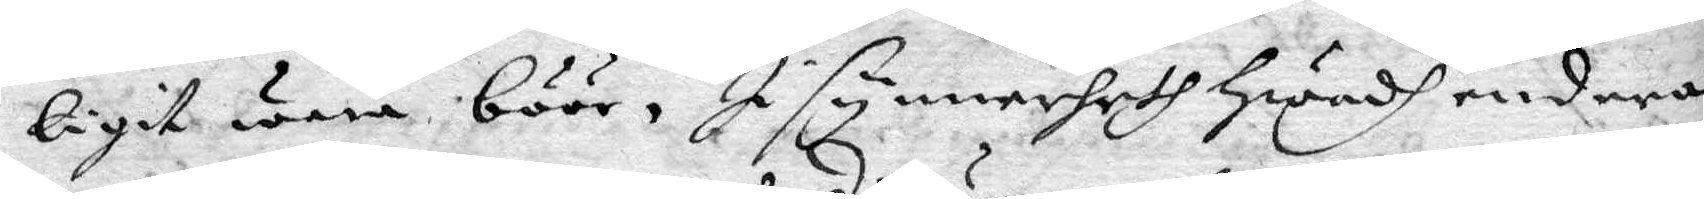ligit wara böör, I synnerheth hwadh endera
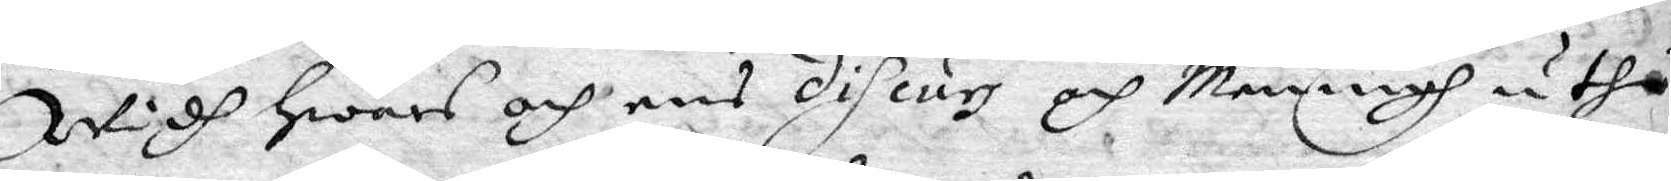Widh hears och ens discurs och Meningh uthi
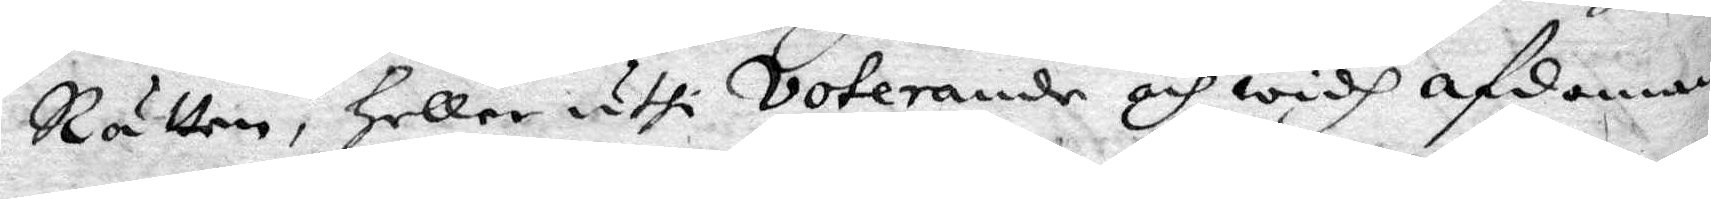Rätten, heller uthi Voterande och widh afdoman¬
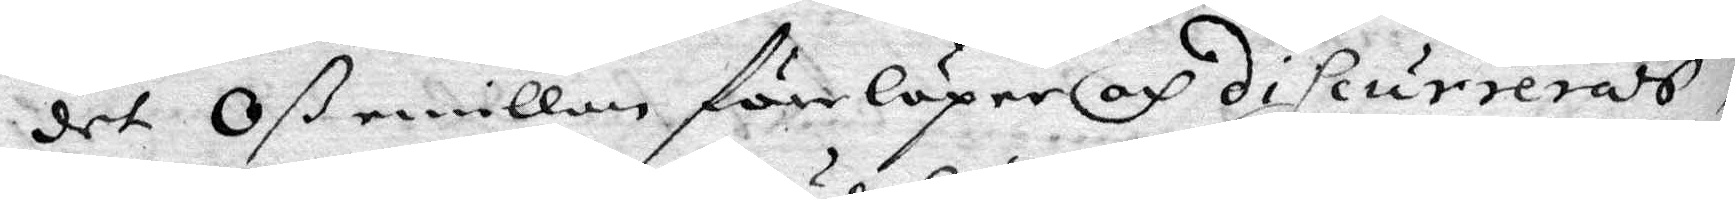det Oß emillan förelöpen och discurrerads;
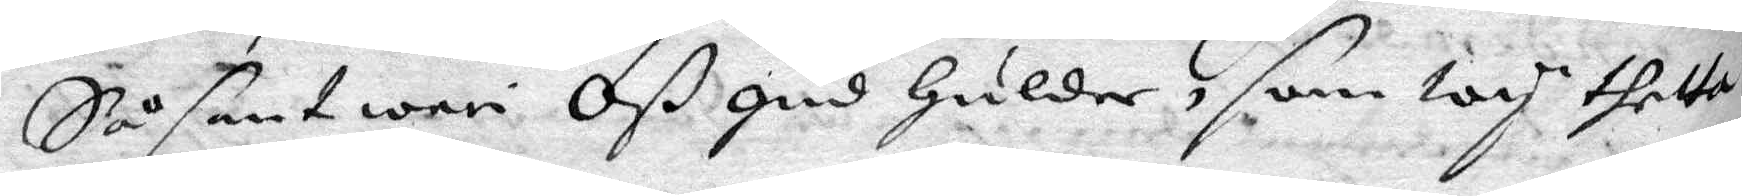Så snat war Oß gud hulder, som wy thetta
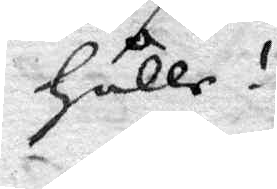hålle!
